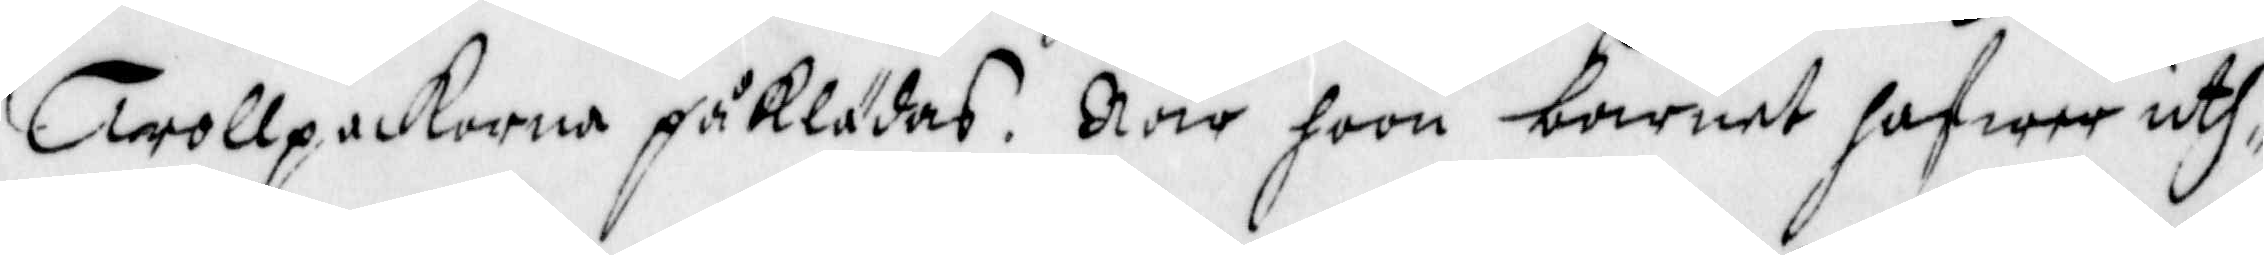Trollpackorna påklädas. När hoon barnet hafwer uth¬
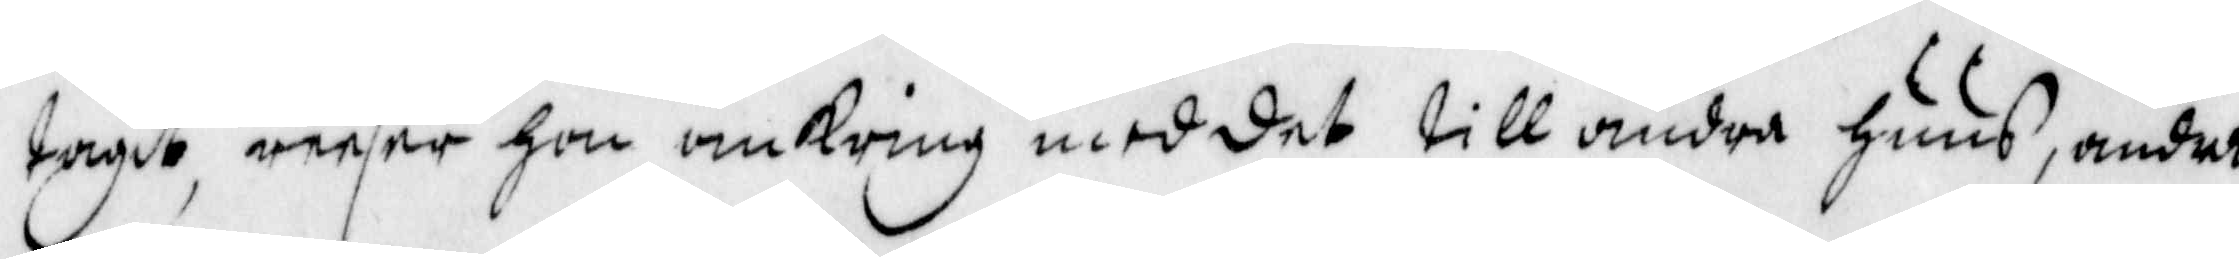tagit, reesar hon omkring med det till andra huus, andre
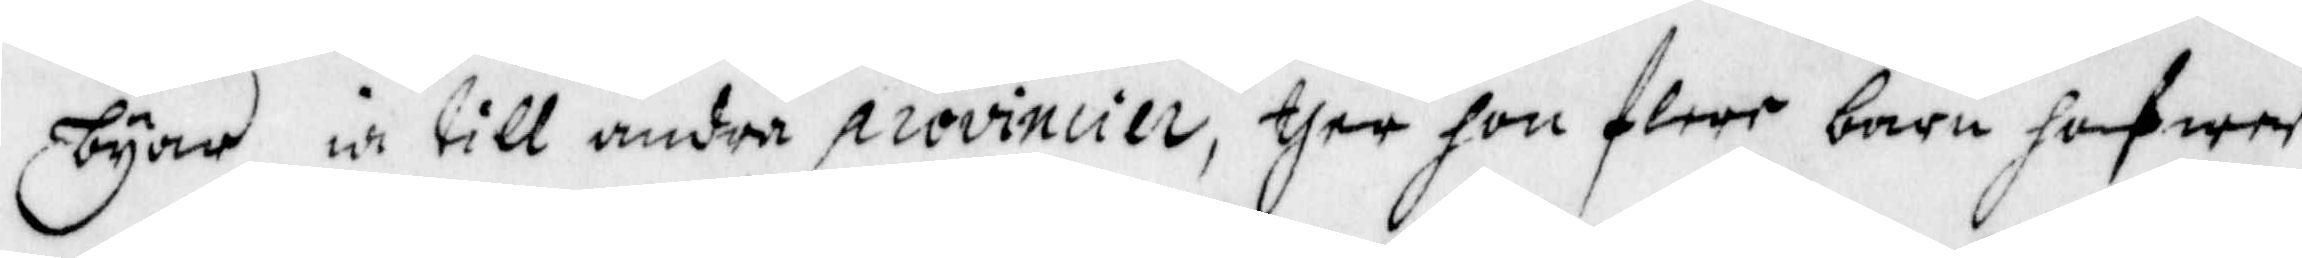byar in till andra provincier, ther hon flere barn hafwer
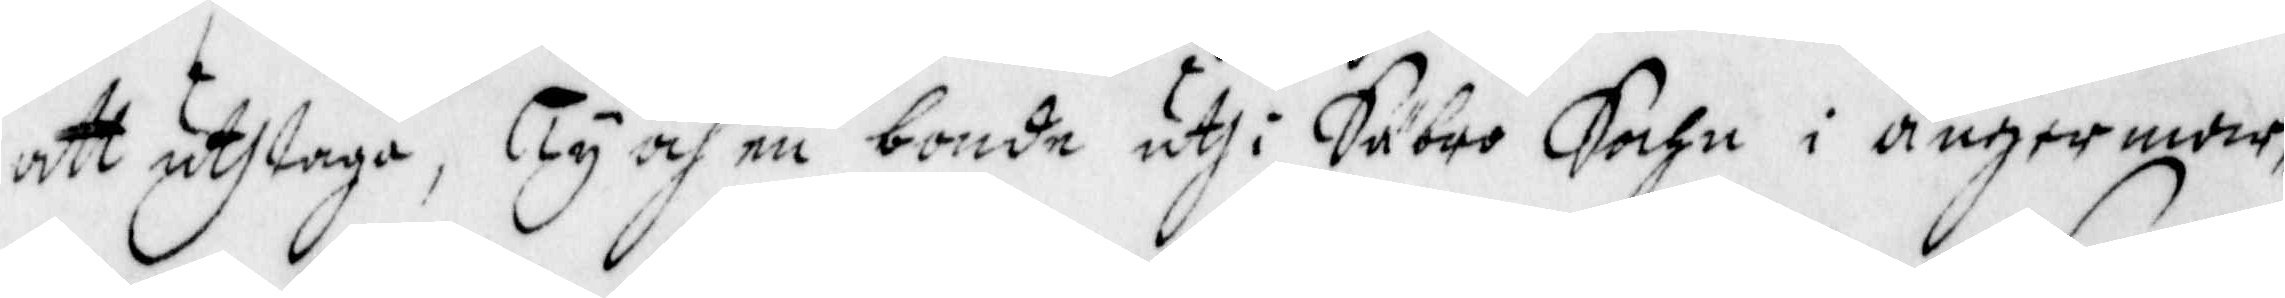att uthtaga, Ty och en bonde uthi Säbro Sochn i ångermar¬
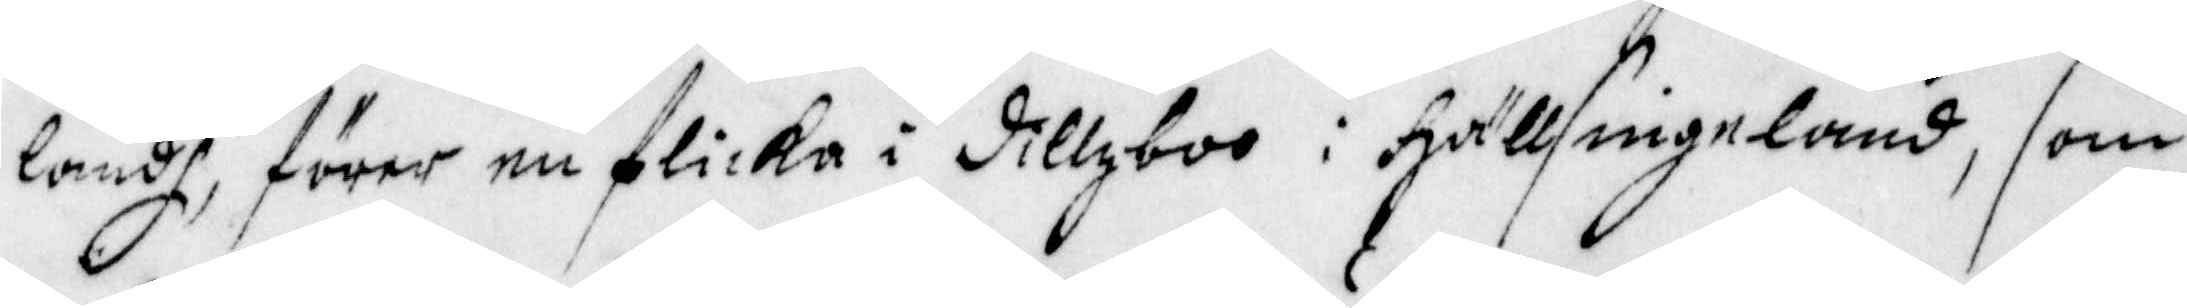landh, förer en flicka i dillboo i Hällsingeland, som
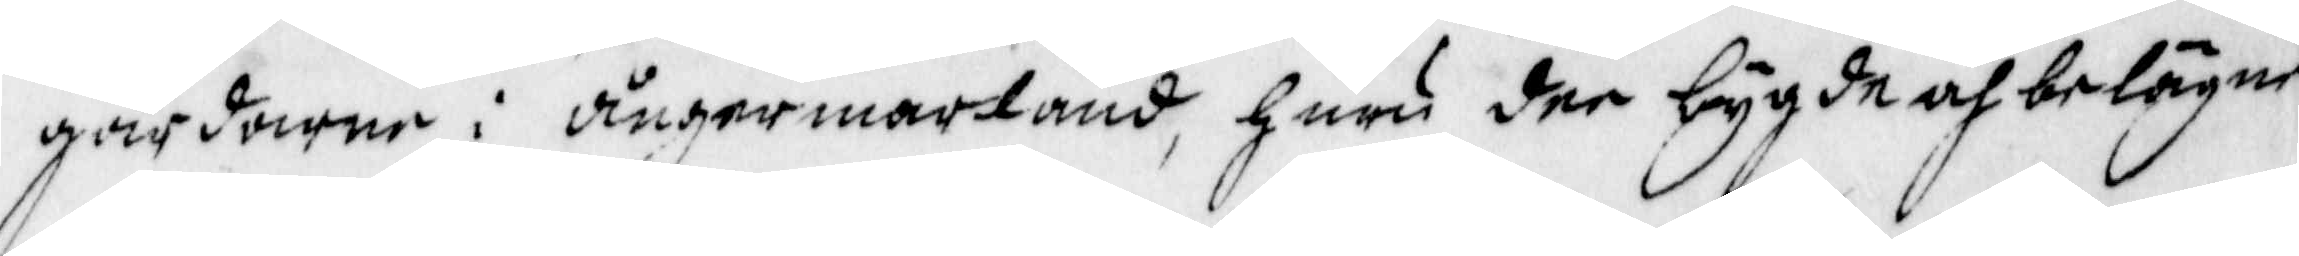gårdarne i ångermarland, huru der bygde och belägne
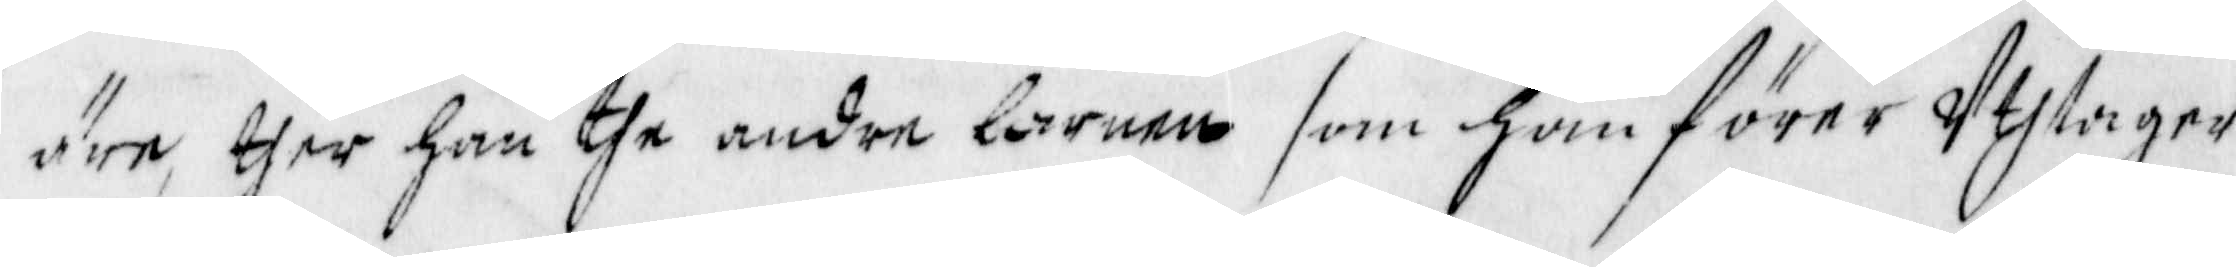äre, ther han the andre barnen som ham förer Uthtager,
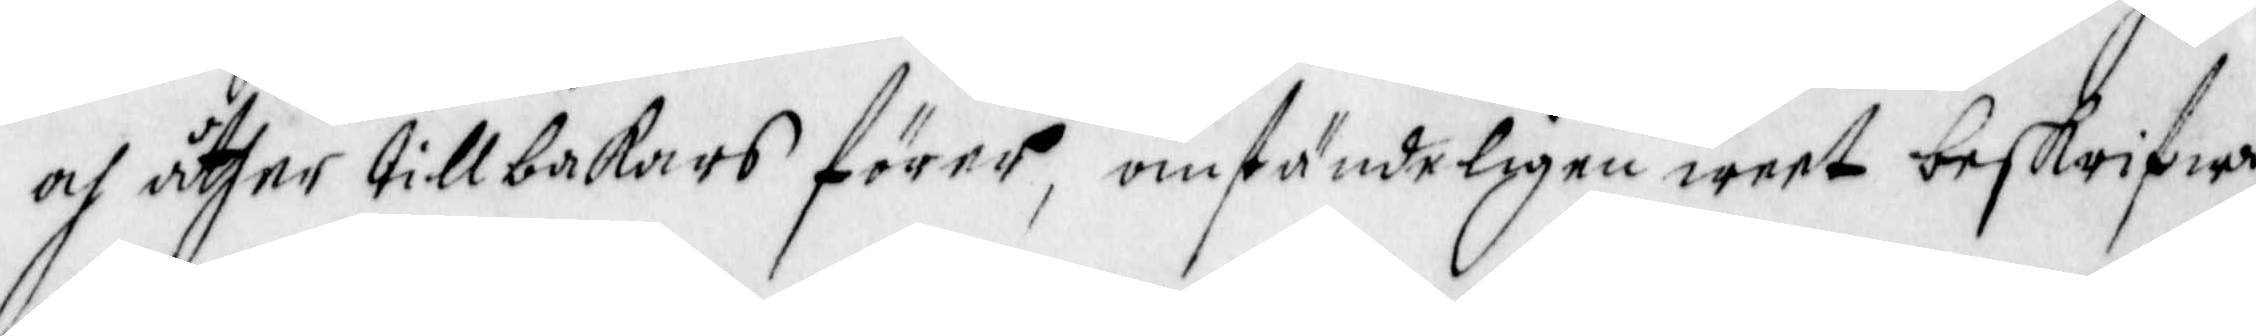och åther tillbakars förer, omständeligen weet beskrifwe,
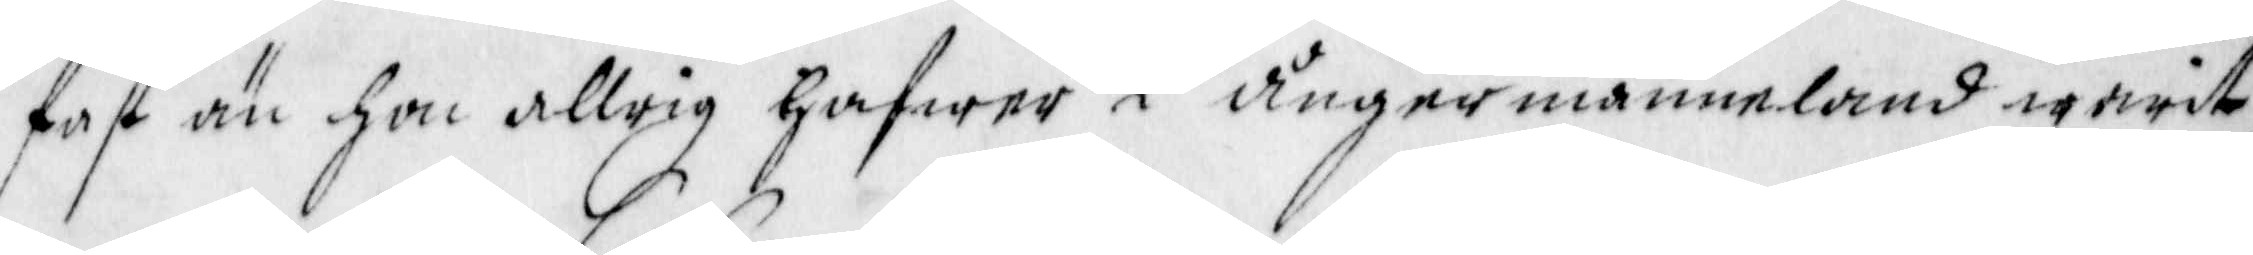fast än hon allrig hafwer i ångermanneland warit,
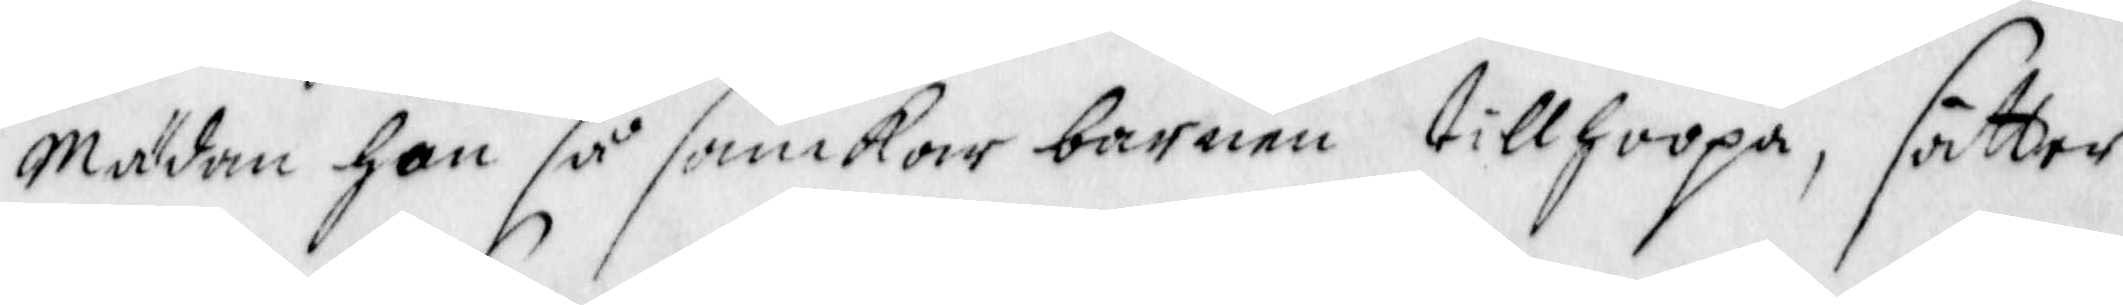Mädan han så samkar barnen tillhoopa, sätter
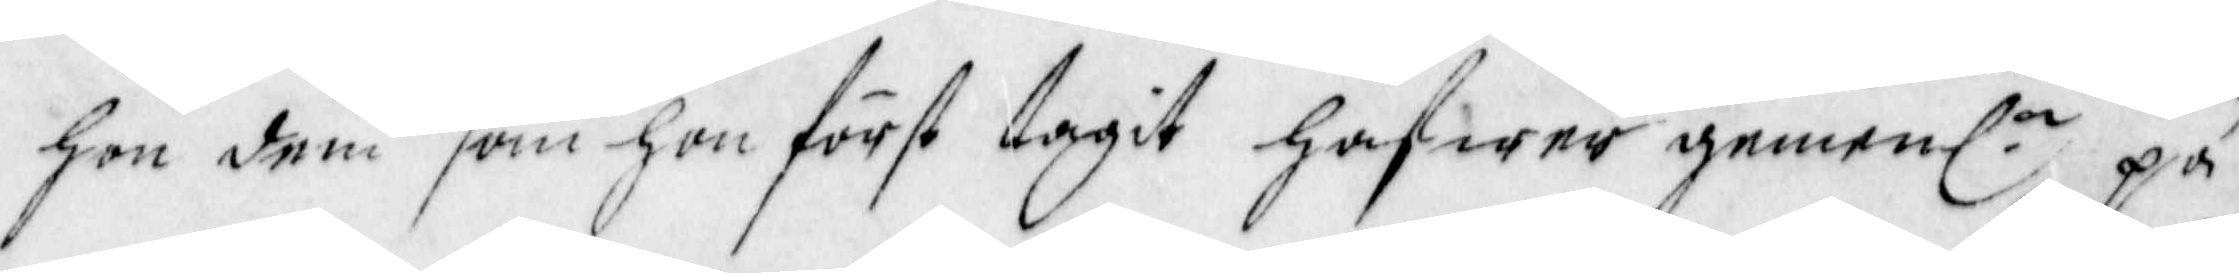hon dem som hon först tagit hafwer gemenl.n på
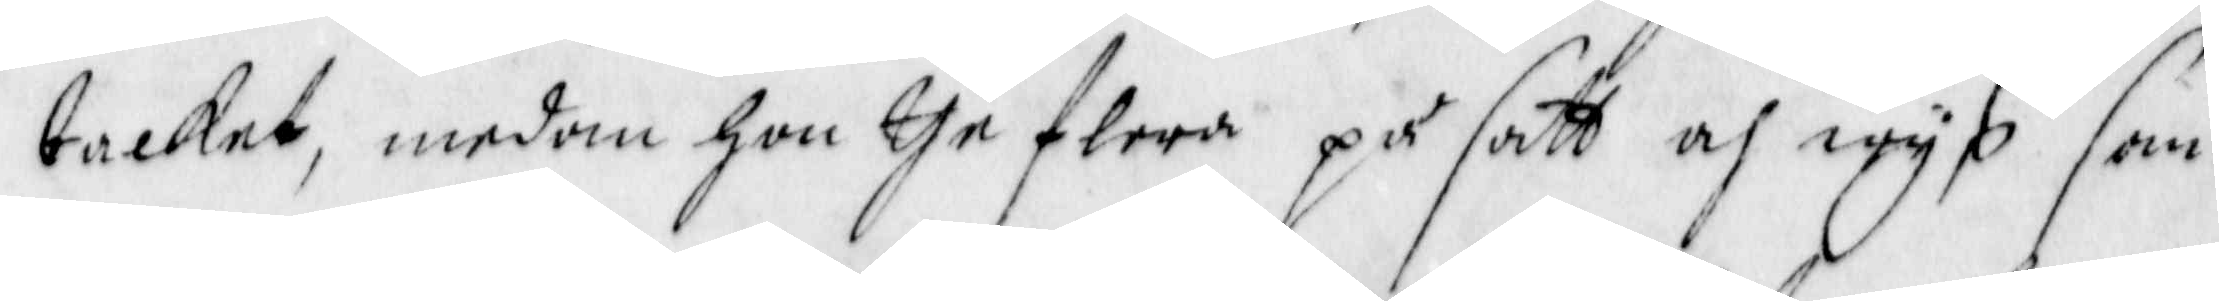tacket, medan hon the flera på sätt och wys som
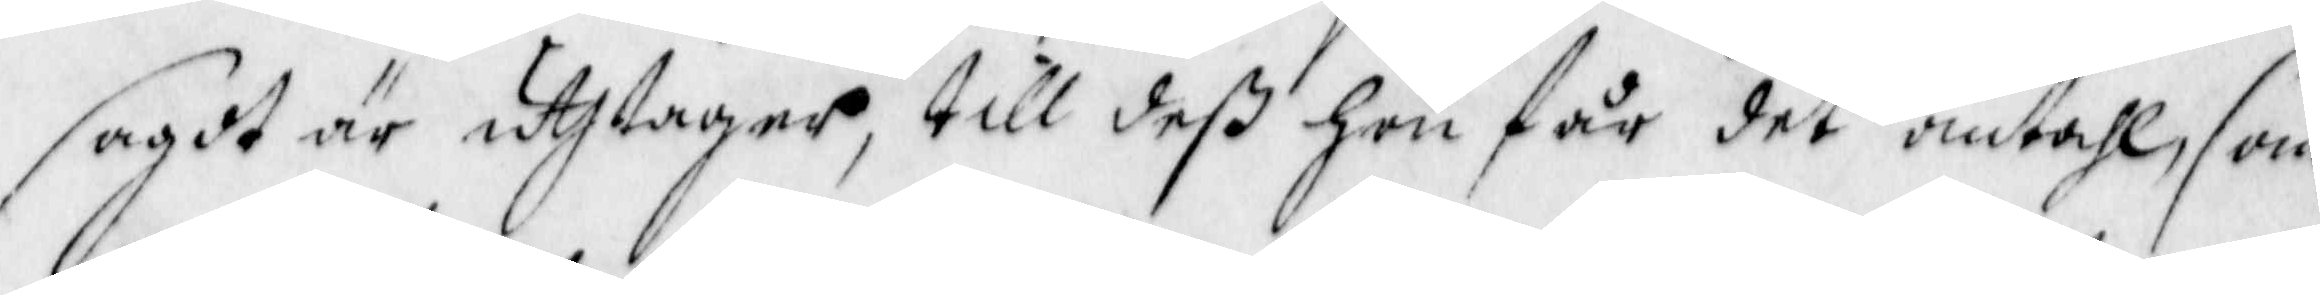sagdt är uthtagar, till deß hon får det omtahl, som
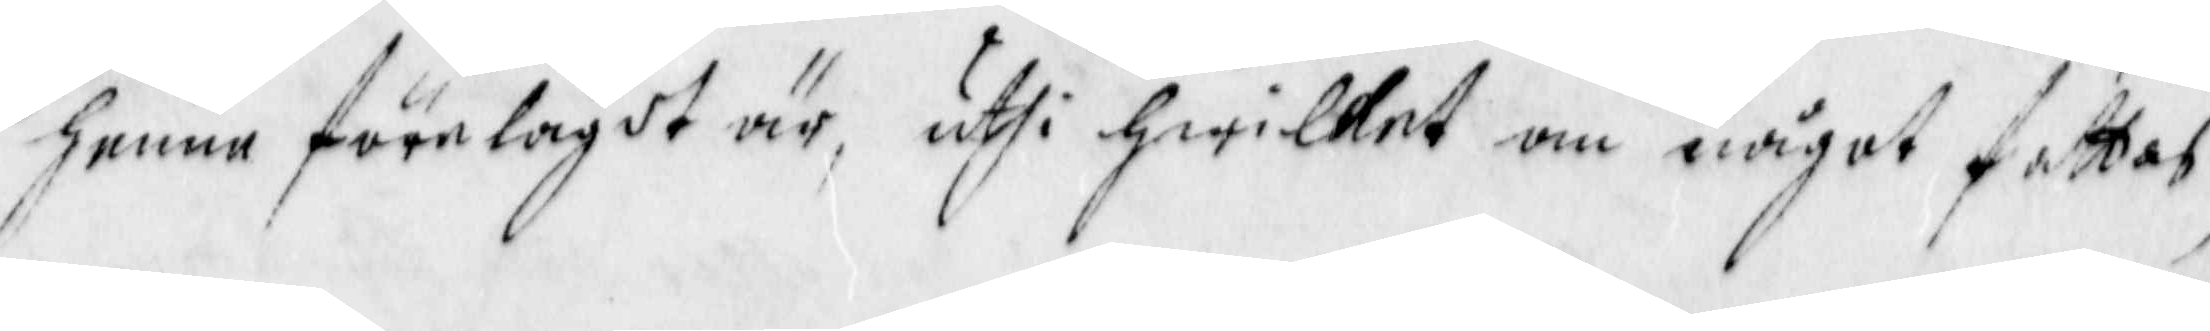henne förelagdt är, uthi hwilket om något fattas,
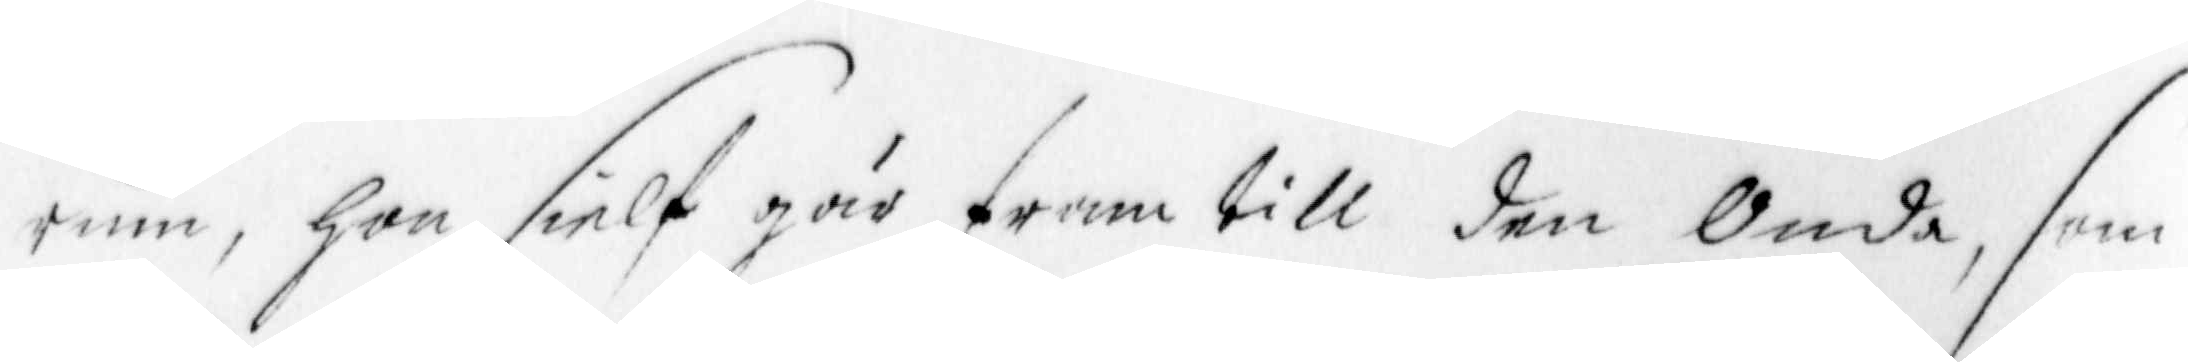rum, han sielf går fram till den Onda, som
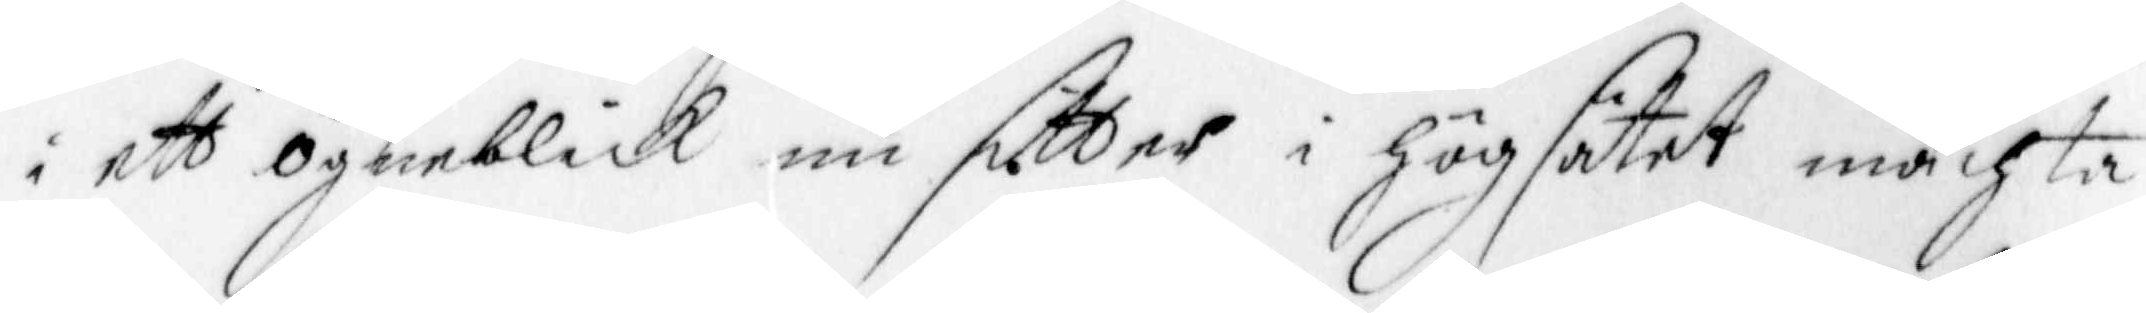i ett ögneblick nu sitter i högsätet mächta
